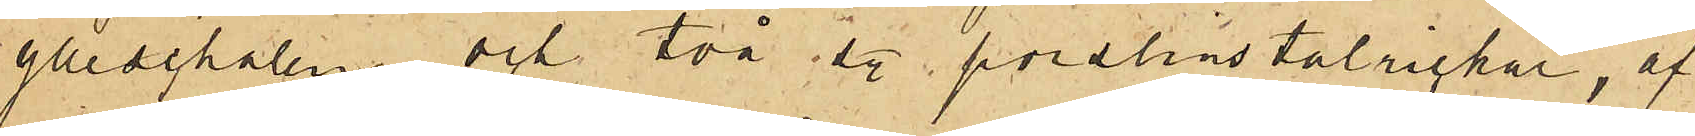ylleschalen och två sty. porslinstalrickar, af
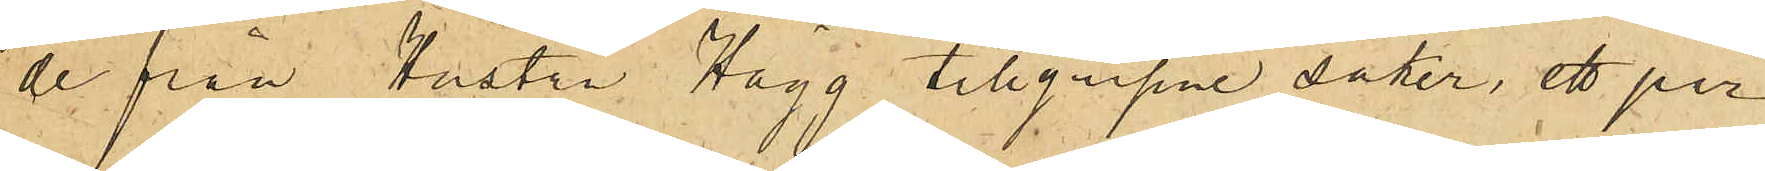de från Hustru Hägg tillgripne saker, ett par
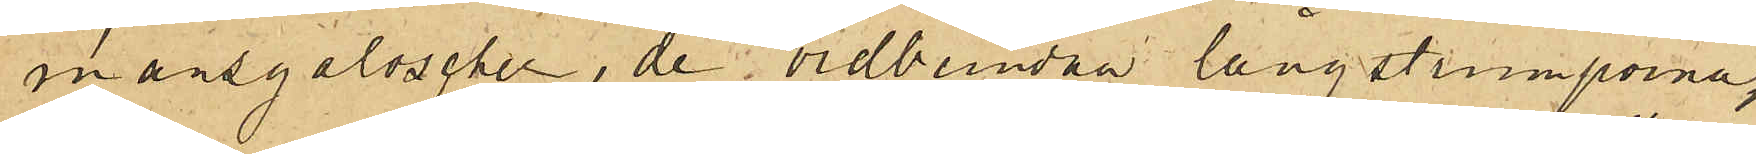mansgaloscher, de vidbundna långstrumporna,
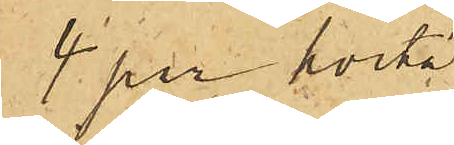4 par hvita
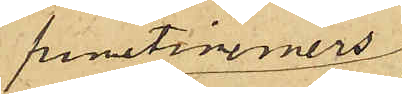fruntimmers¬
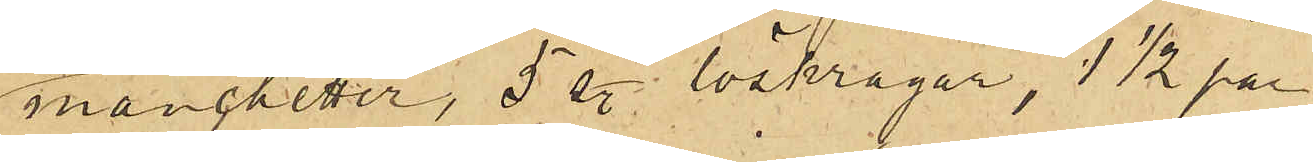manchetter, 5 sty. löskragar, 1½ par
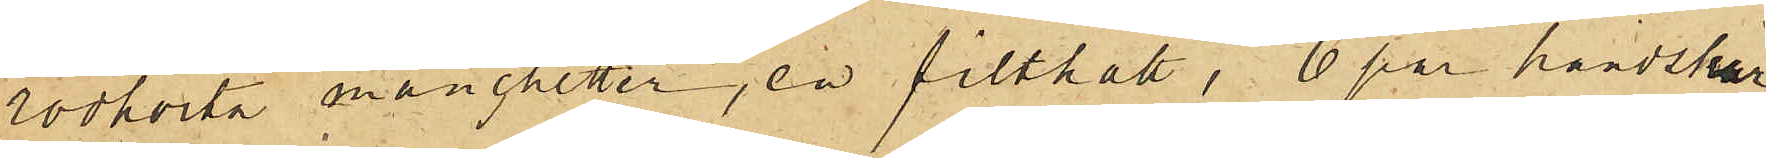rödhvita manchetter, en filthatt, 6 par handskar
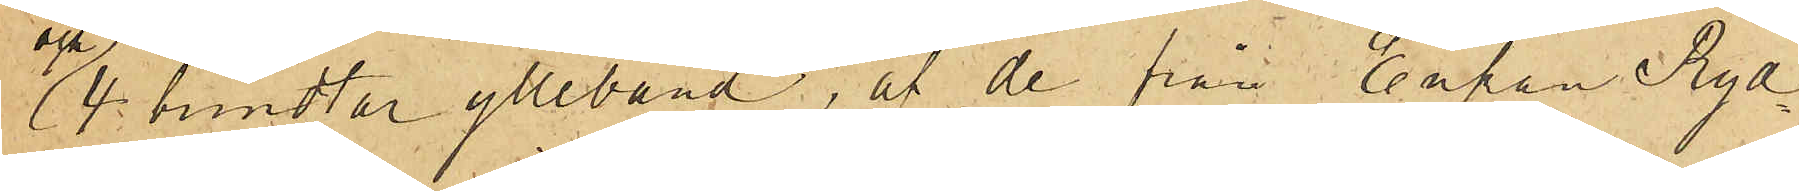och 4 bundtar ylleband, af de från Enkan Ryd¬
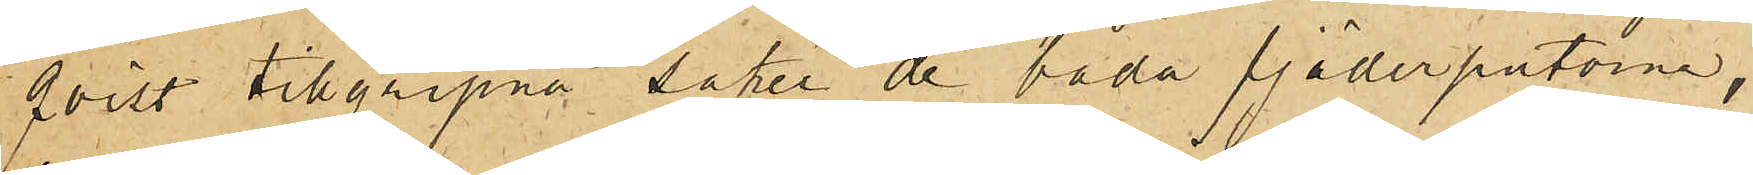qvist tillgripne saker de båda fjäderputorne,
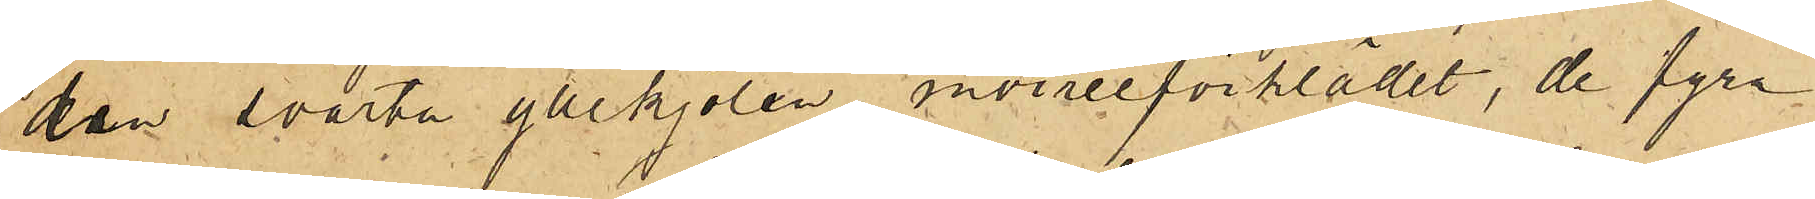den svarta yllekjolen moiréeförklädet, de fyra
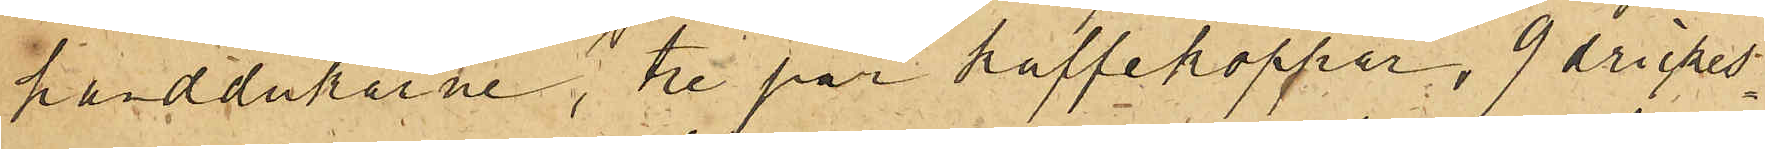handdukarne, tre par kaffekoppar, 9 drickes¬
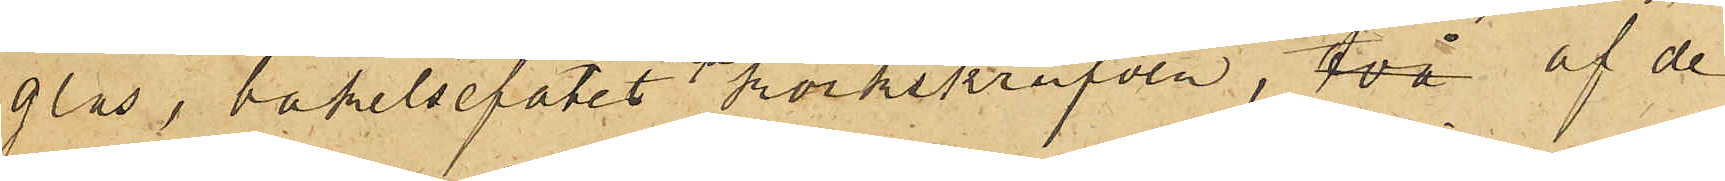glas , bakelsefatet och korkskrufven, två af de
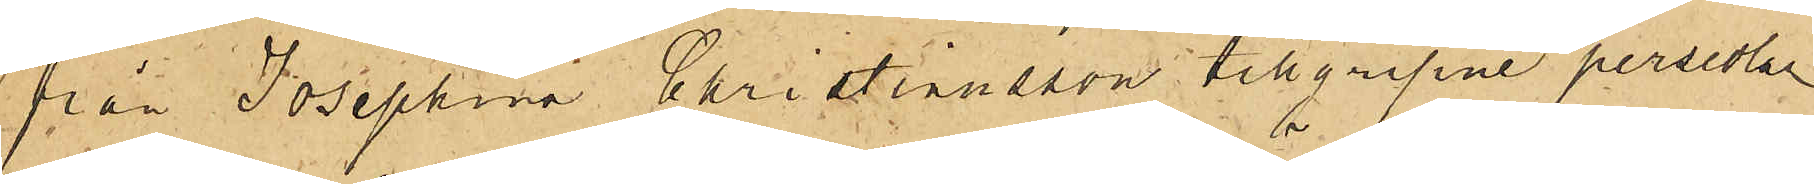från Josephina Christiansson tillgripne persedlar
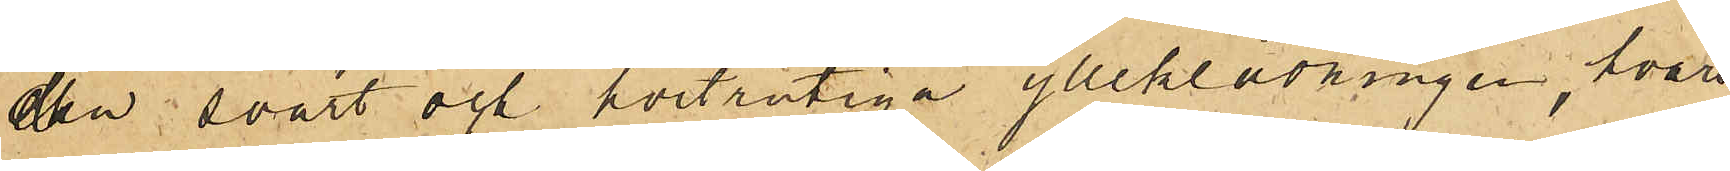den svart och hvitrutiga ylleklädningen, hvars
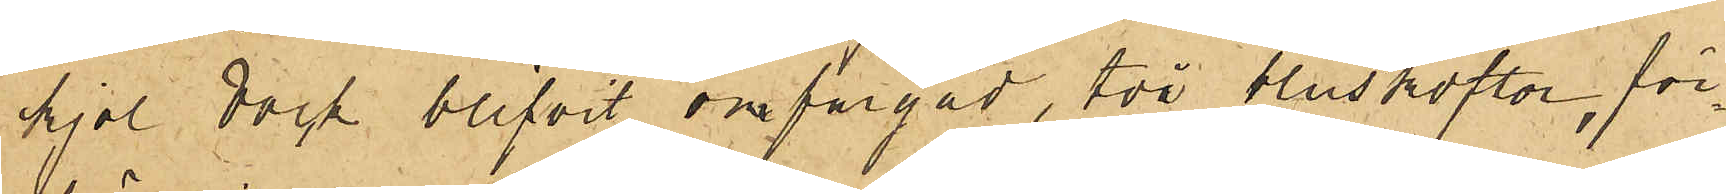kjol dock blifvit omfärgad, två bluskoftor, för¬
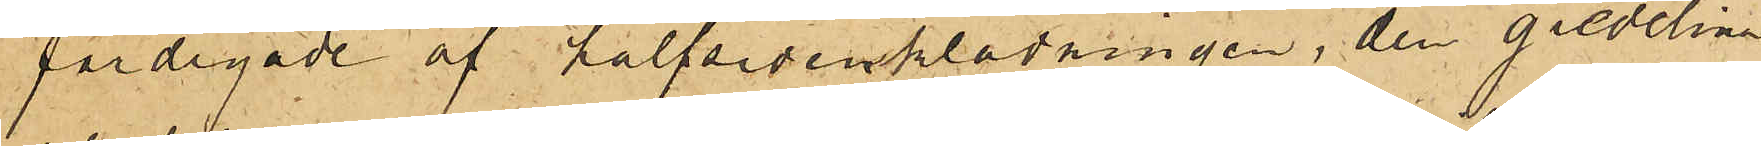färdigade af halfsidenklädningen, den gredelina
